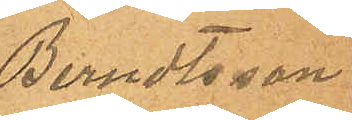Berndtsson.
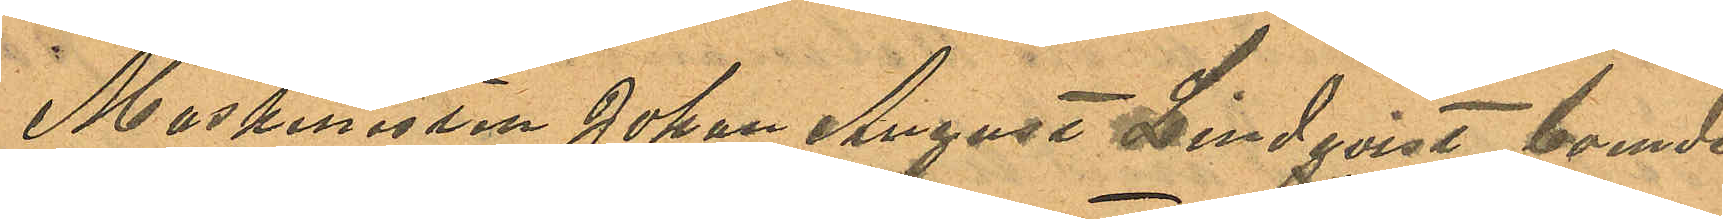Maskinisten Johan August Lindqvist, boende
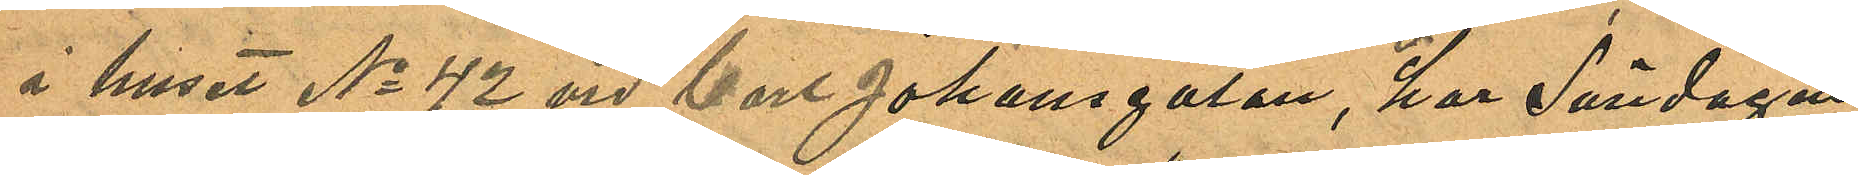i huset No 42 vid Carl Johansgatan, har Söndagen
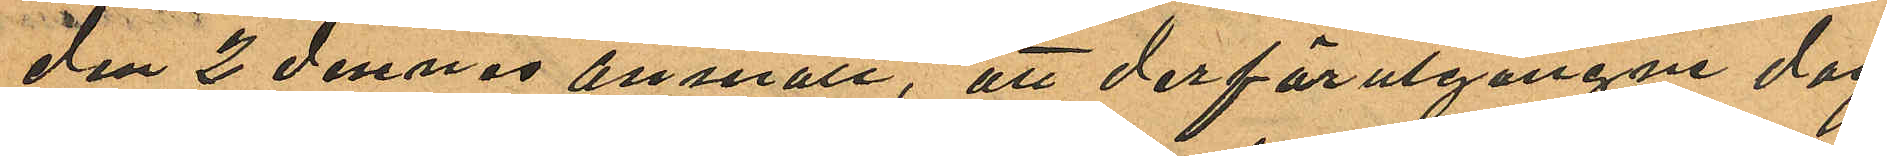den 2 dennes anmält, att derförutgångne dag
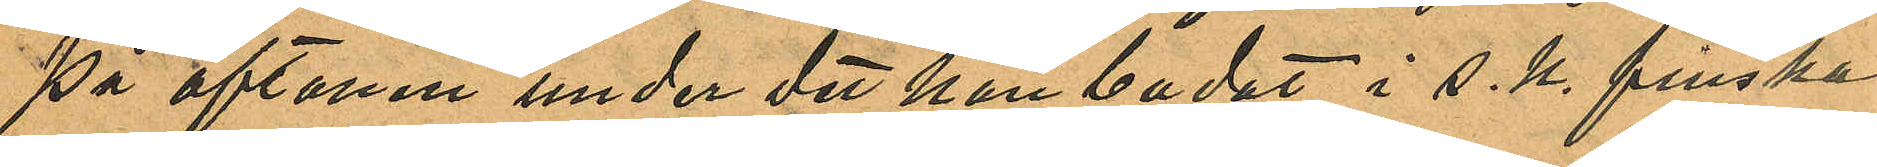på aftonen under det han badat i s. k. finska
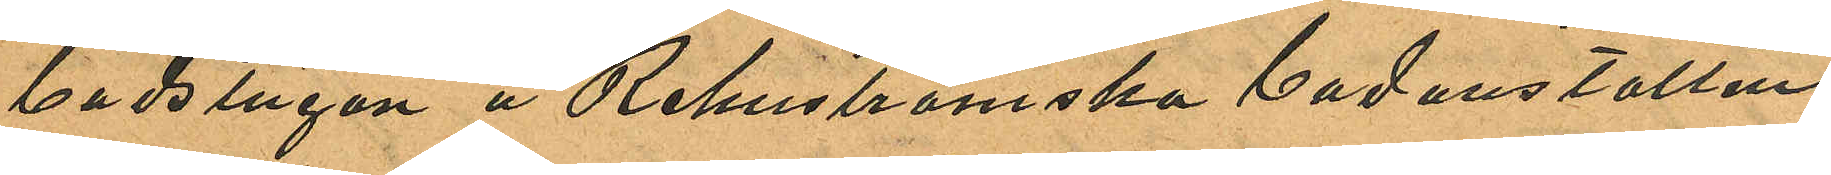badstugan å Rehnströmska badanstalten
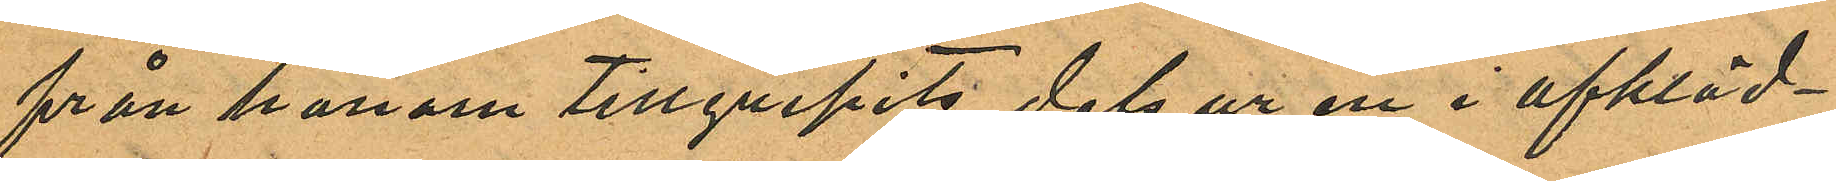från honom tillgripits dels ur en i afkläd¬
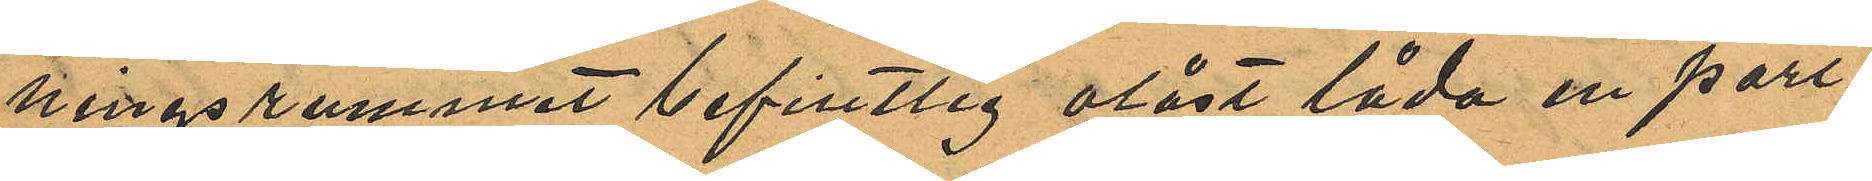ningsrummet befintlig olåst låda en port¬
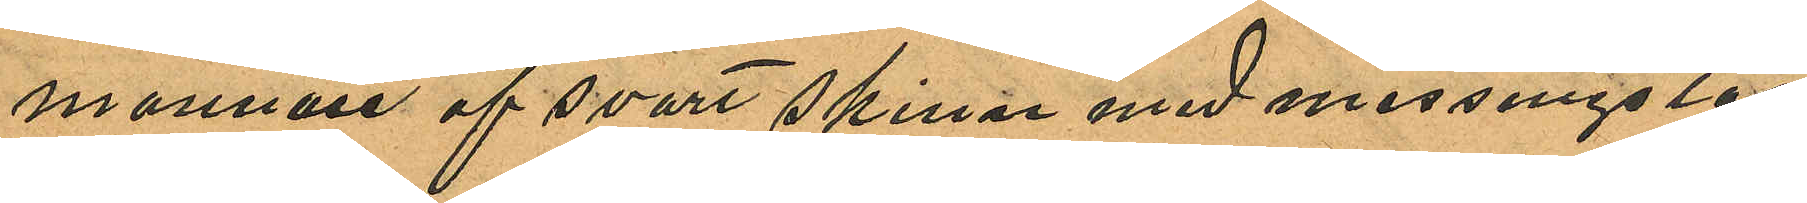monnaie af svart skinn med messingslås
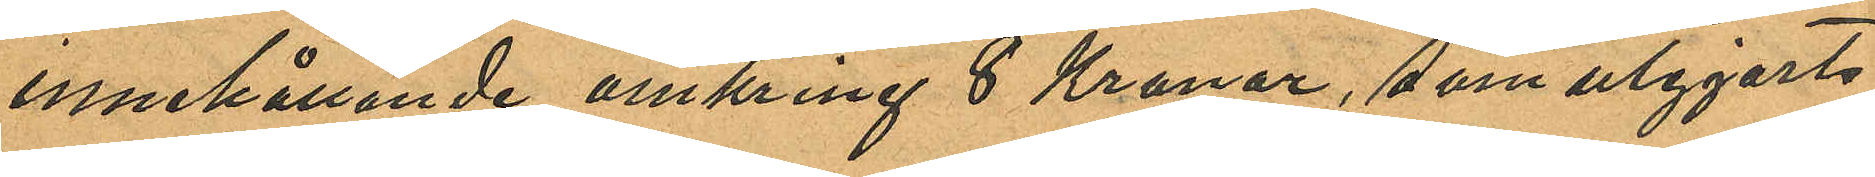innehållande omkring 8 Kronor, som utgjorts
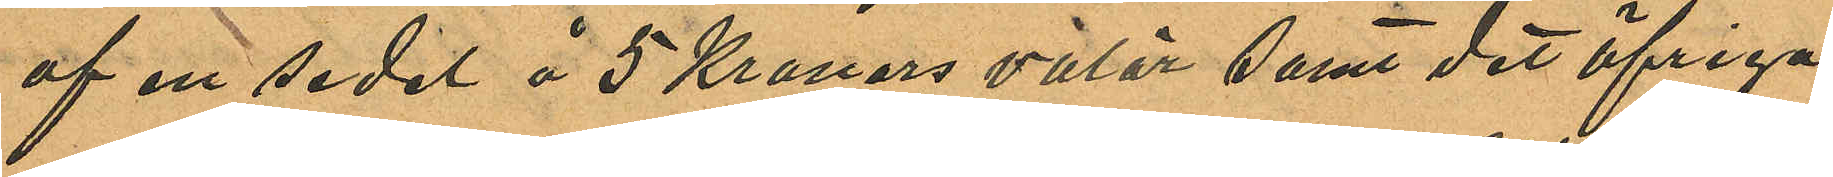af ett sedel å 5 Kronors valör samt det öfriga
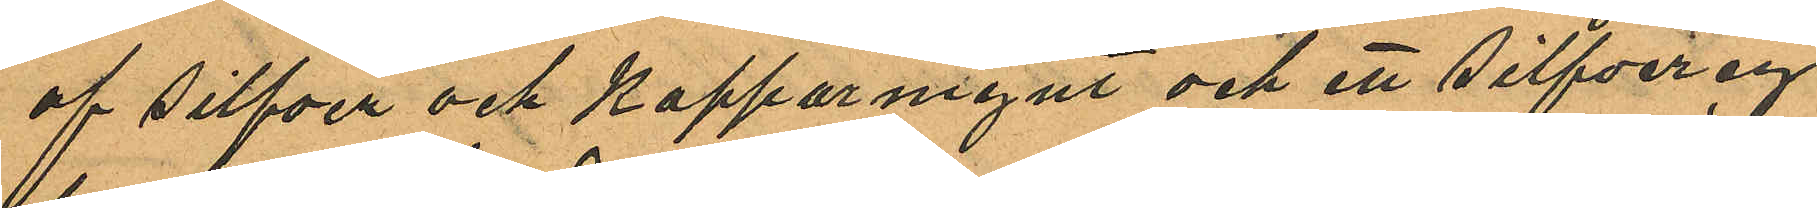af silfver och kopparmynt och ett silfvercy¬
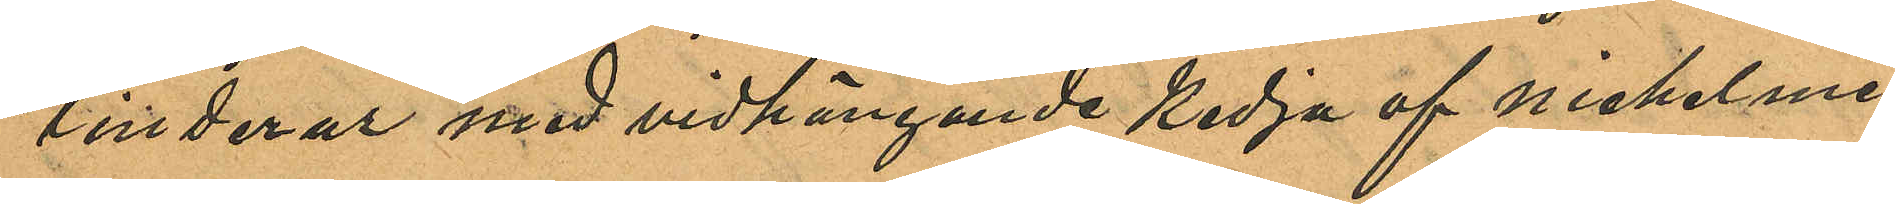linderur med vidhängande kedja af nickelme¬
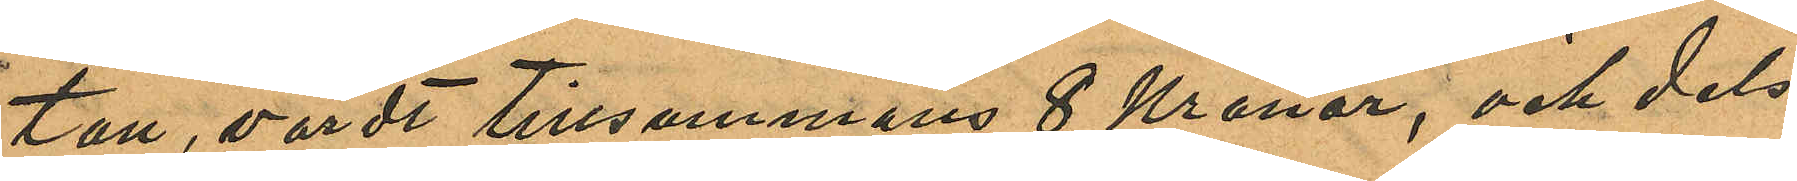tall, värdt tillsammans 8 Kronor, och dels
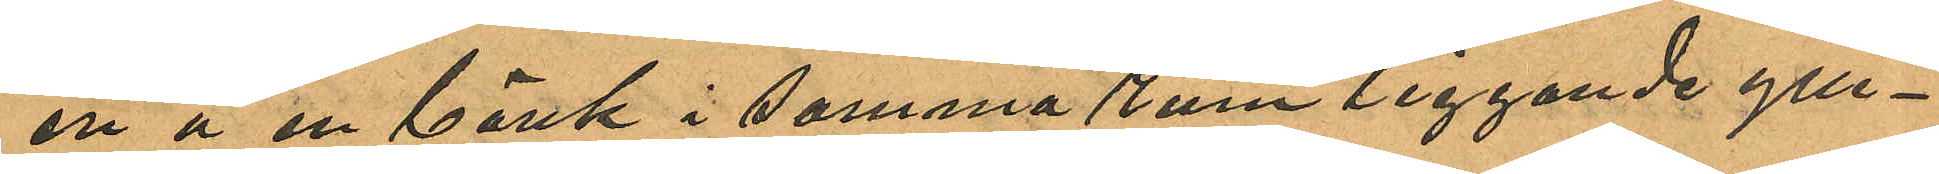en å en bänk i samma rum liggande ylle¬
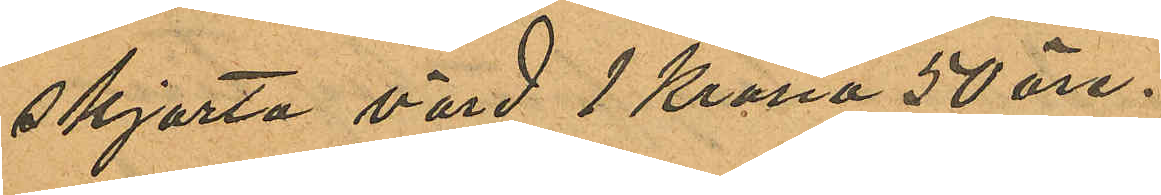skjorta värd 1 Krona 50 öre.
